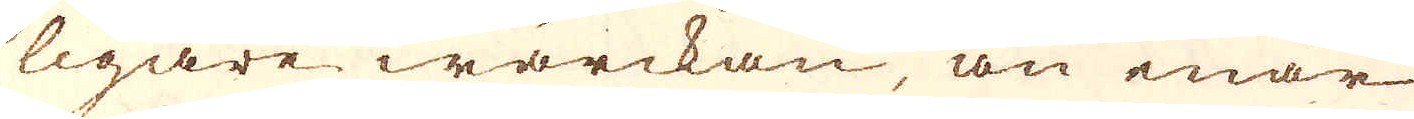ligare wärckan, än enär
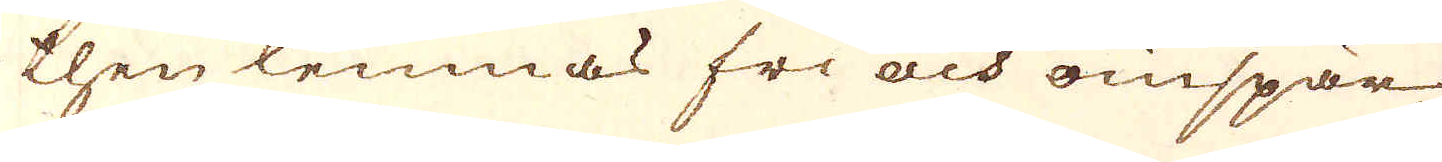then lemnas fri och oinspär-
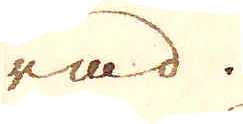rad.
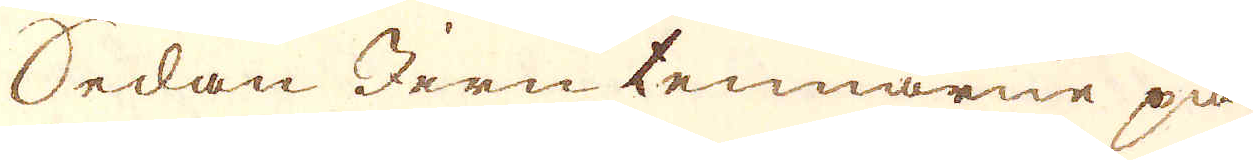Sedan Jern tennarne på
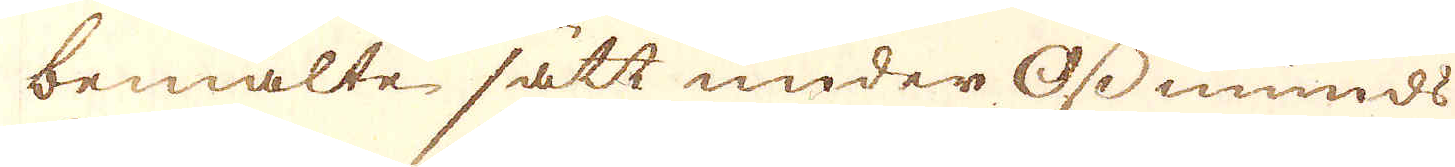bemälte sätt under Ossmunds
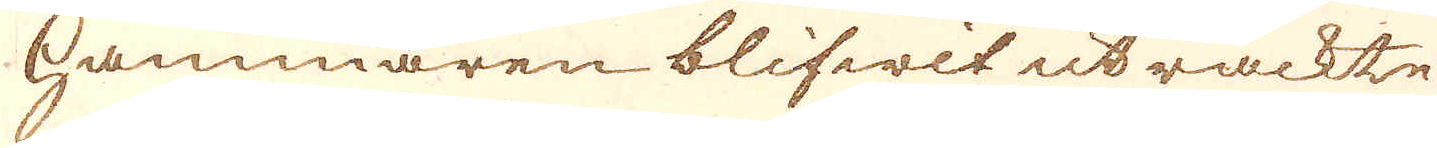hammaren blifwit uträckte
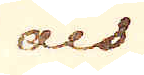och
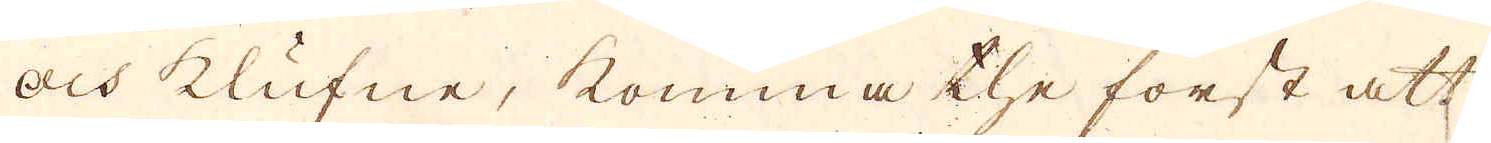och klufne, komma the först att
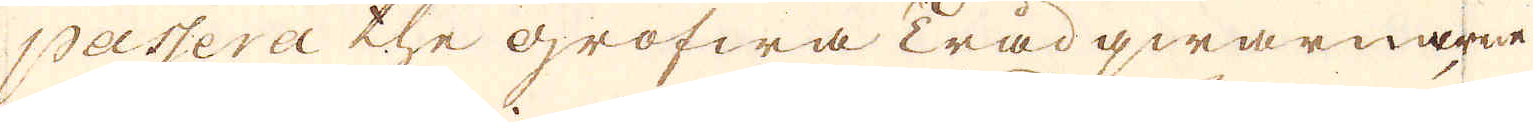passera the grofwa Trådqwarnarne
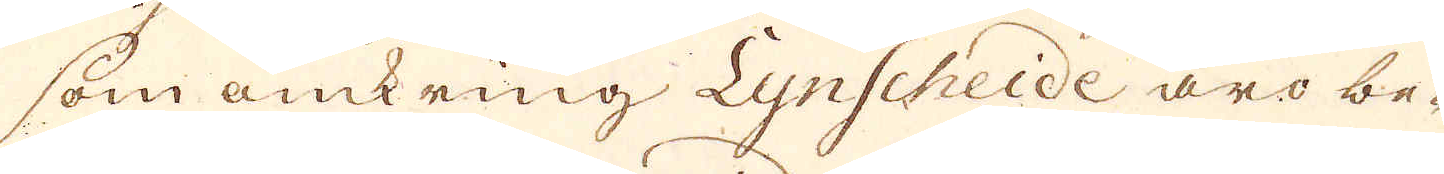som omkring Lynscheide äro be-
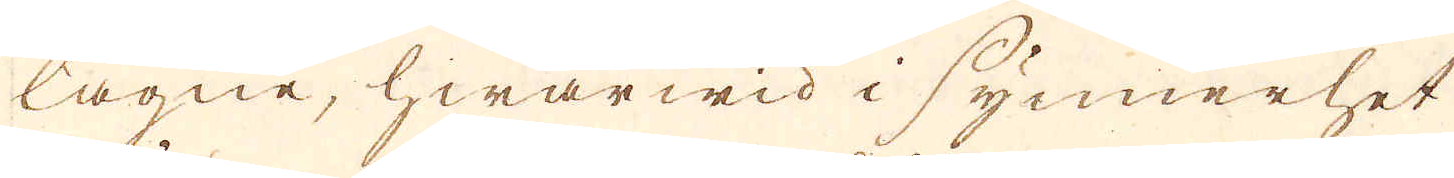lägne, hwarwid i synnerhet
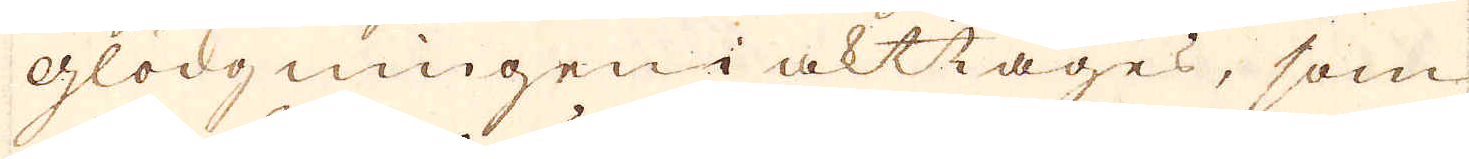glödgningen i akttages, som
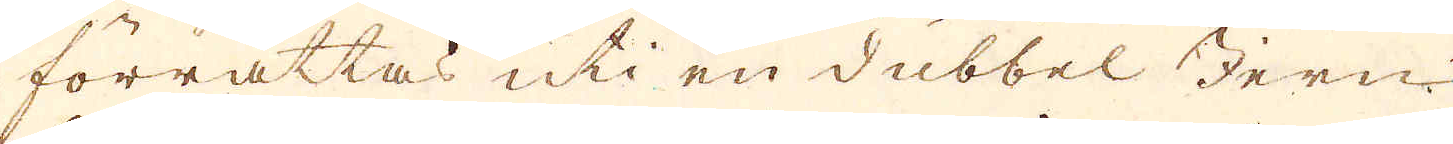förrättas uti en dubbel Jern-
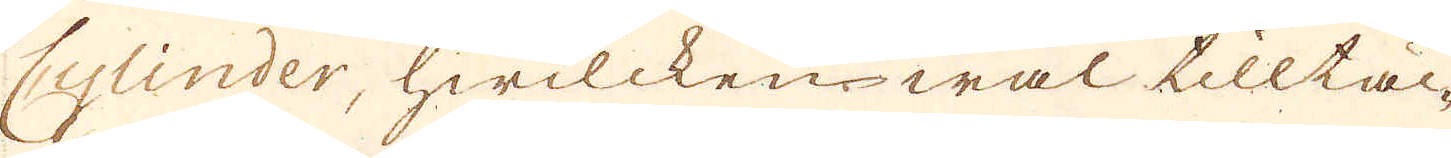Cylinder, hwilcken wäl tilltäc-
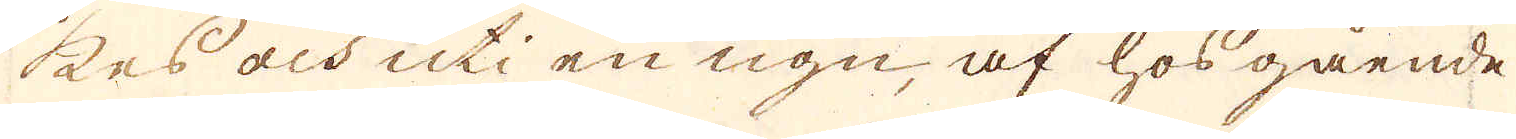kes och uti en ugn, af hosgående
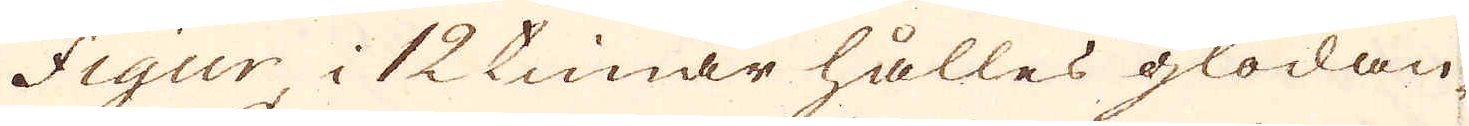Figur i 12 timar hålles glödan-
